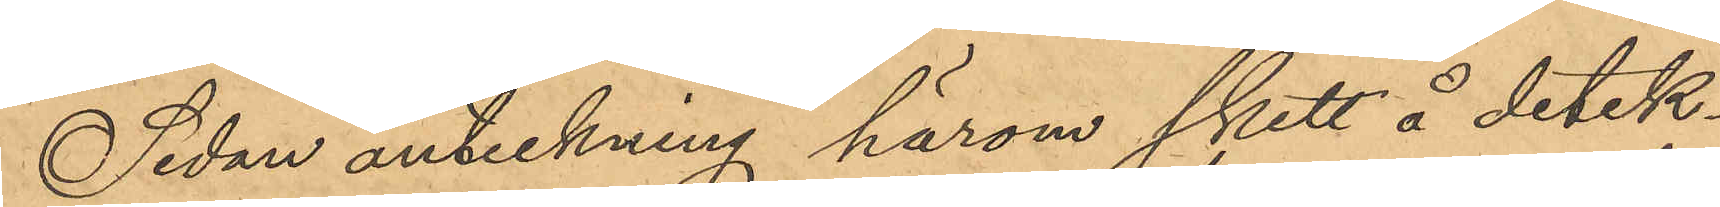Sedan anteckning härom skett å detek¬
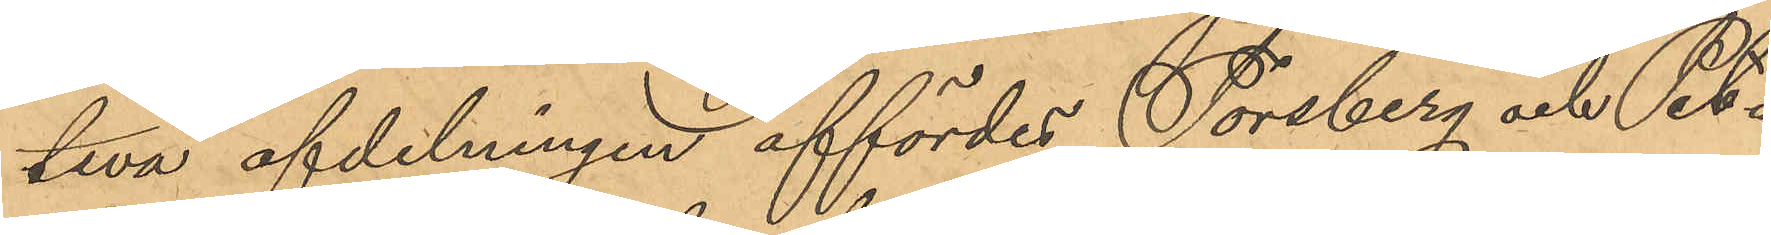tiva afdelningen affördes Forsberg och Pet¬
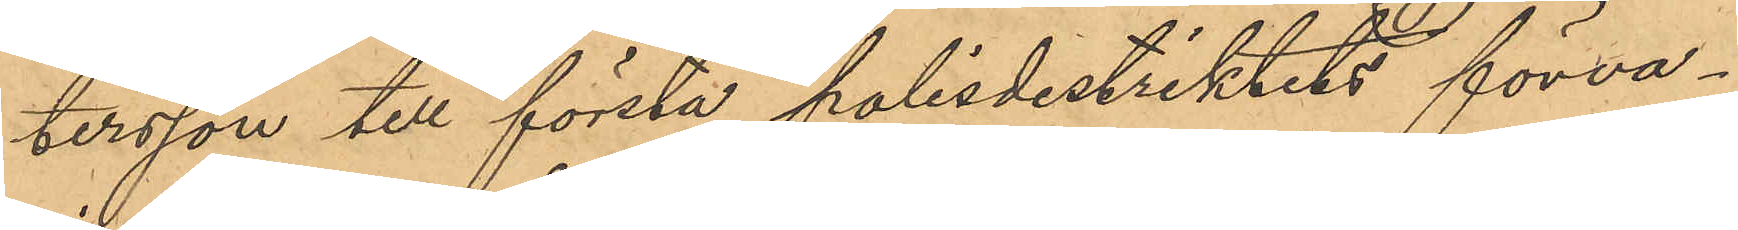tersson till första polisdistriktets förva¬
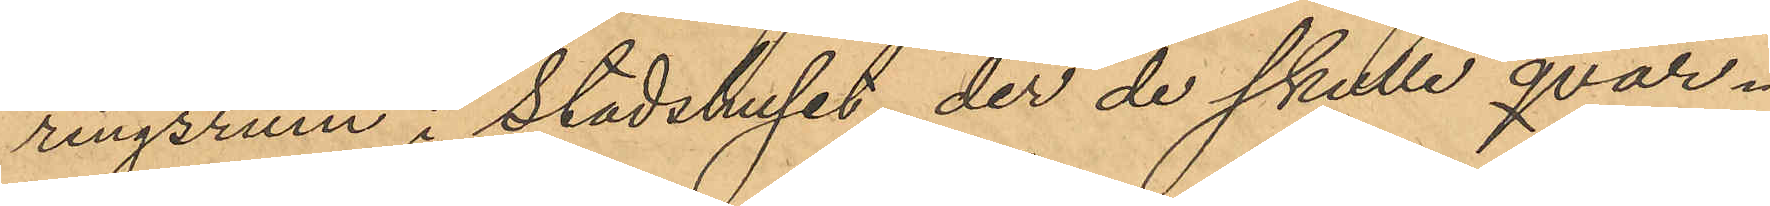ringsrum i Stadshuset, der de skulle qvar¬
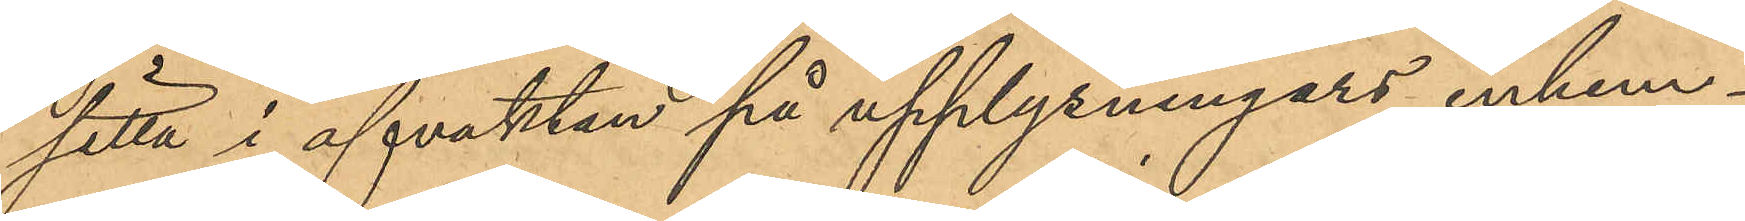sitta i afvaktan på upplysningars inhem¬
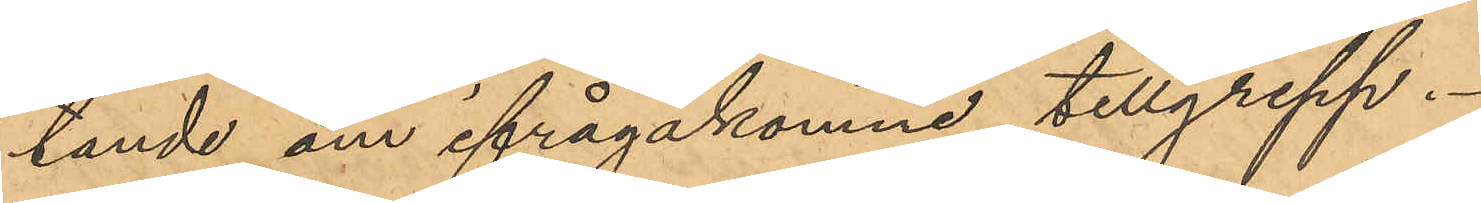tande om ifrågakomne tillgrepp.
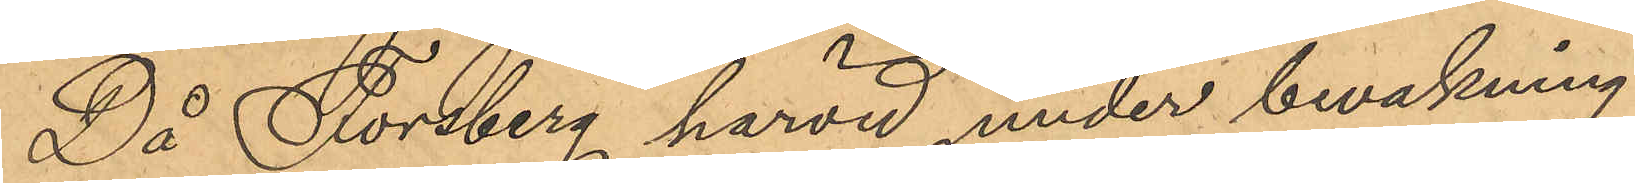Då Forsberg härvid under bevakning
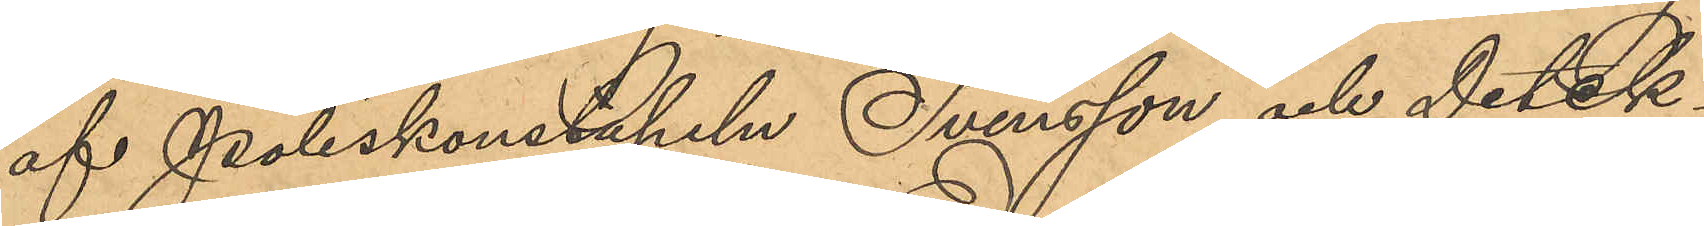af Poliskonstapeln Svensson och Detek¬
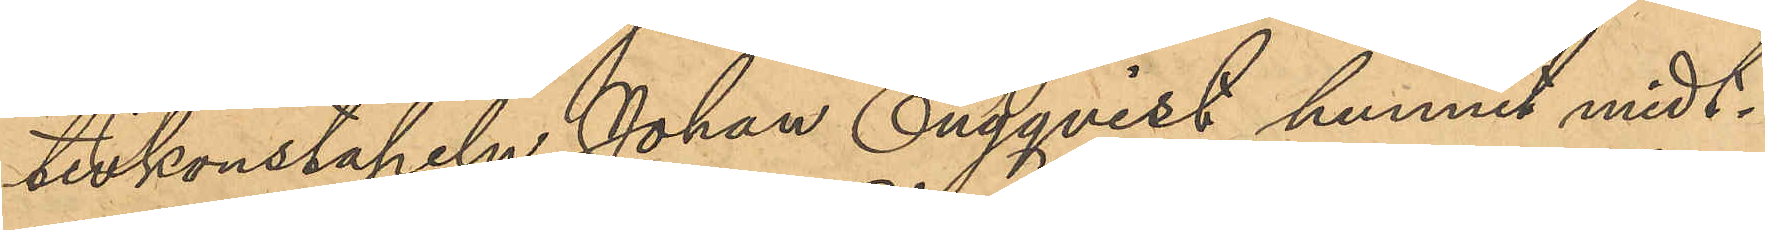tivkonstapeln Johan Engqvist hunnit midt¬
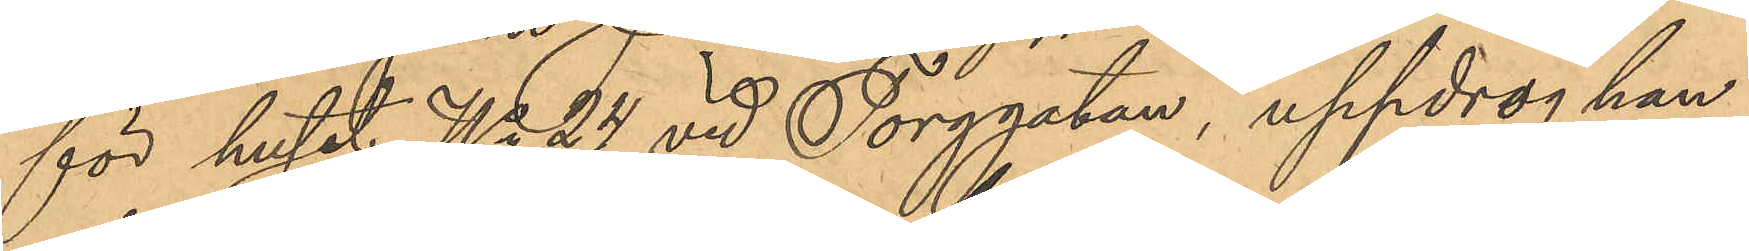för huset No 24 vid Torggatan, uppdrog han
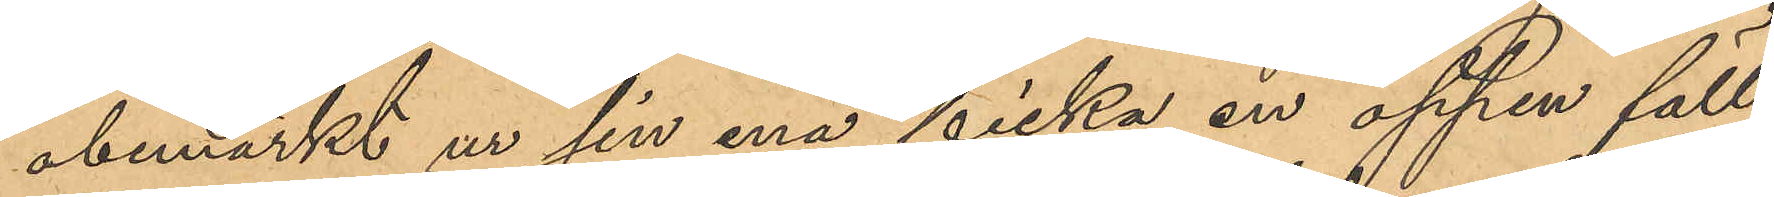obemärkt ur sin ena ficka en öppen fäll¬
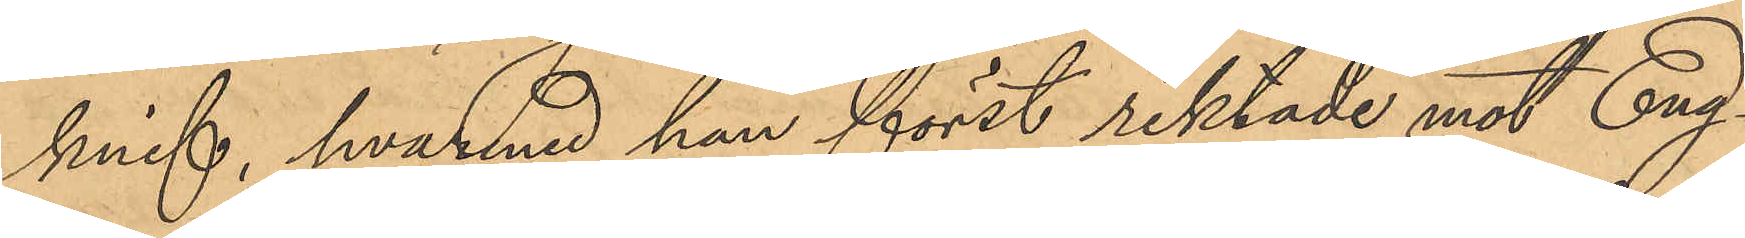knif, hvarmed han först riktade mot Eng¬
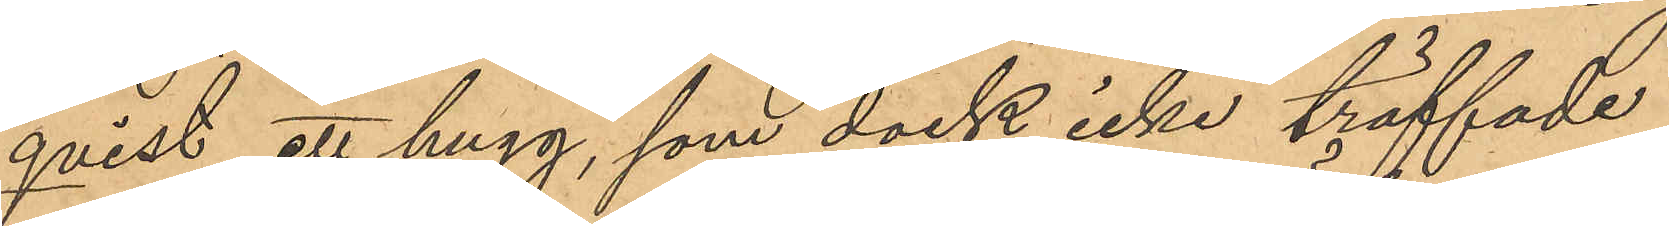qvist ett hugg, som dock icke träffade,
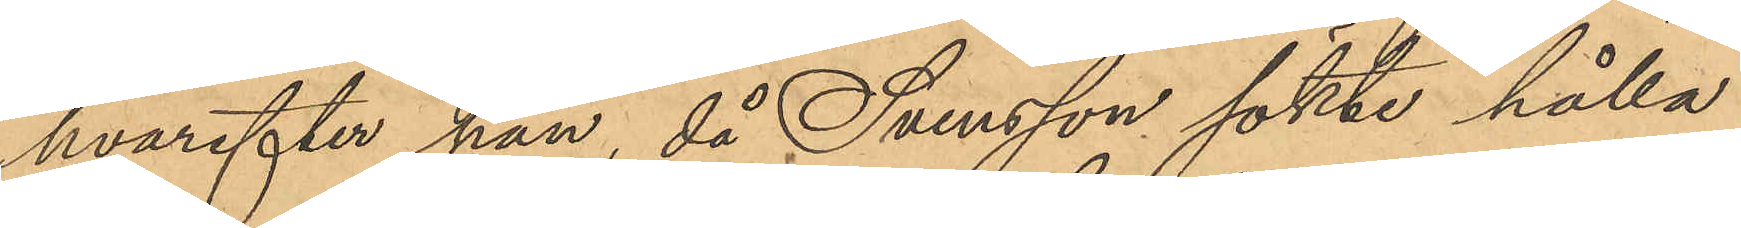hvarefter han, då Svensson sökte hålla
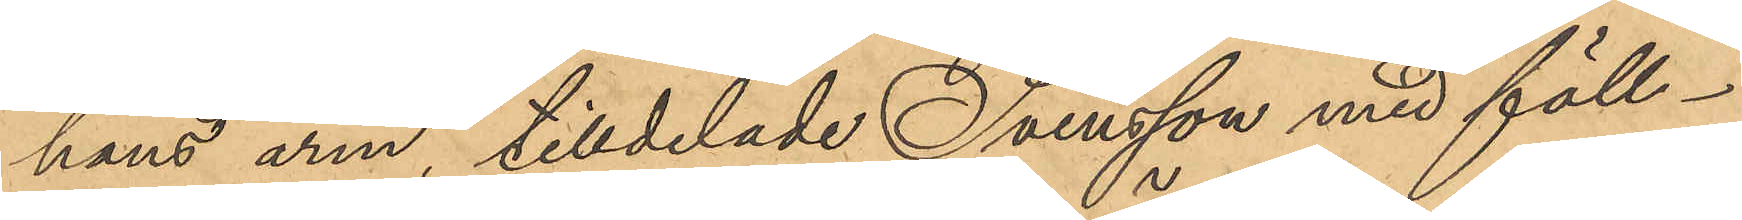hans arm tilldelade Svensson med fäll¬
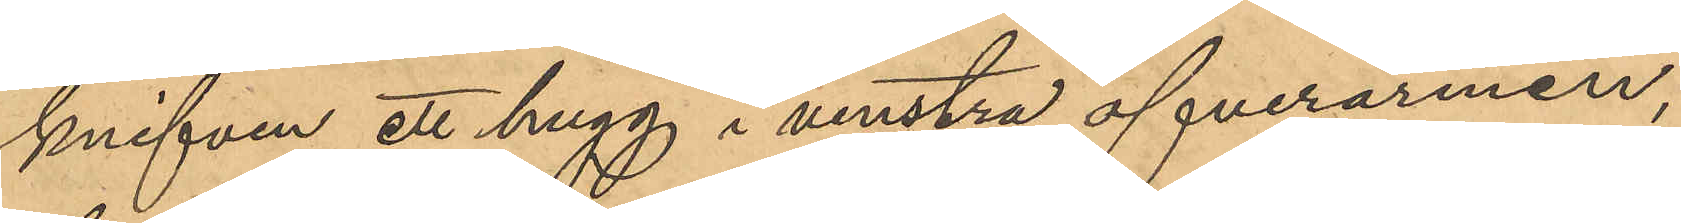knifven ett hugg i venstra öfverarmen,
